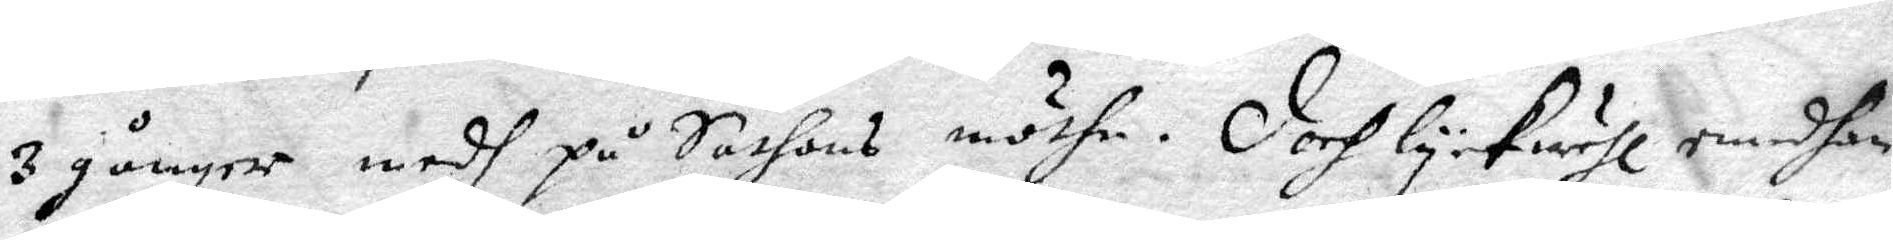3 gånger medh på Sathans möthe. Doch lykwehl emedhan
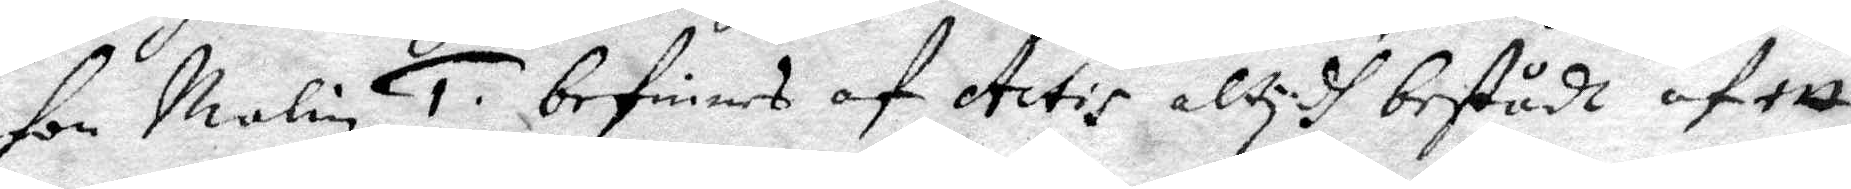gon Malin 1. befinnes af Actis atydh bestådt af ett
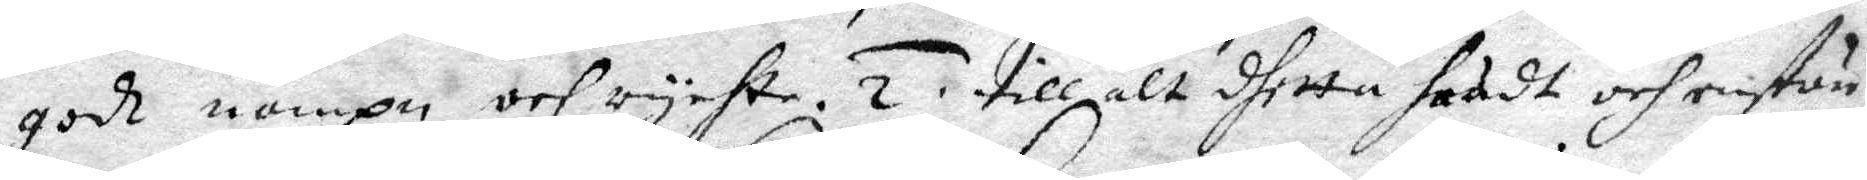godt nampn och rychte. 2. till alt dhetta huadt och enstän¬
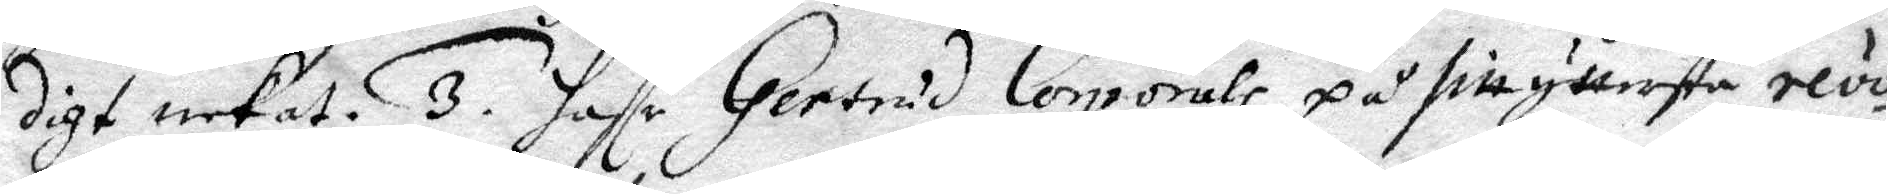digt nekat. 3. haffr Gertrud Corprals på sitt yttersta revo¬
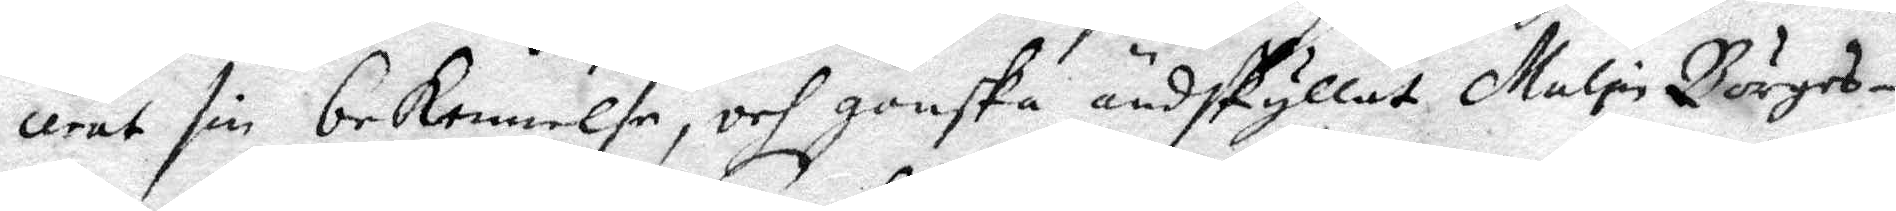cerat sin bekennelse, och ganska ändskyllat Malin Börges¬
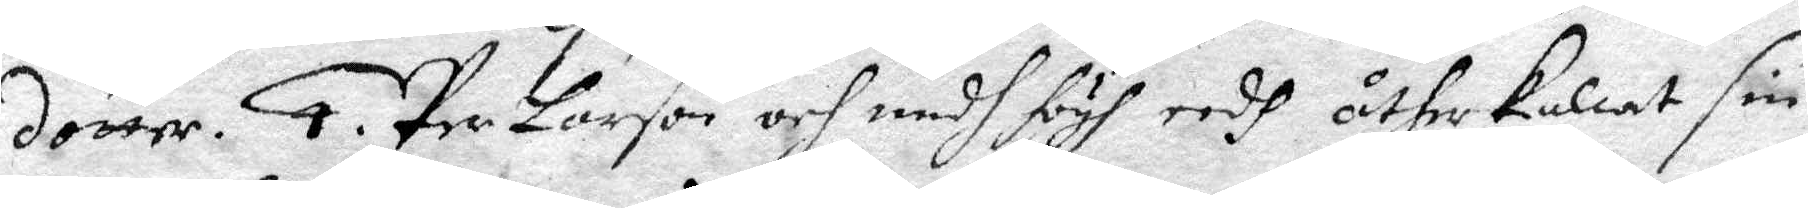dotter. 4. Per Larson och medh högh eedh åtherkalat sn
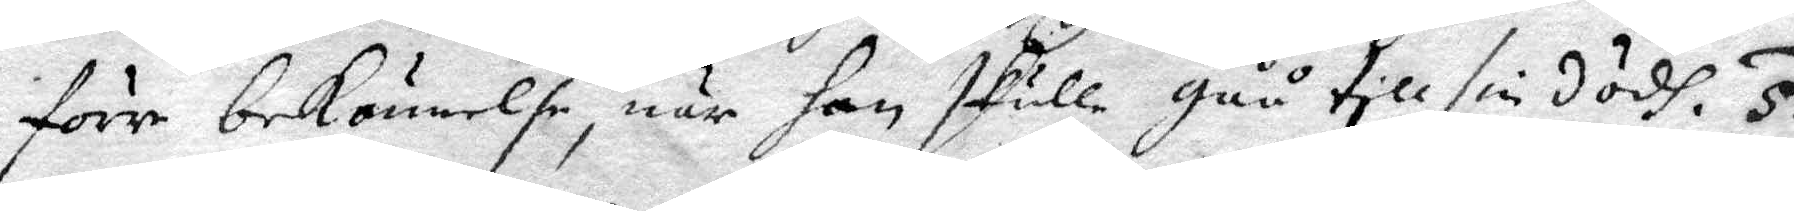förre bekännelse, när han skulle gåå till sin dödh. 5.
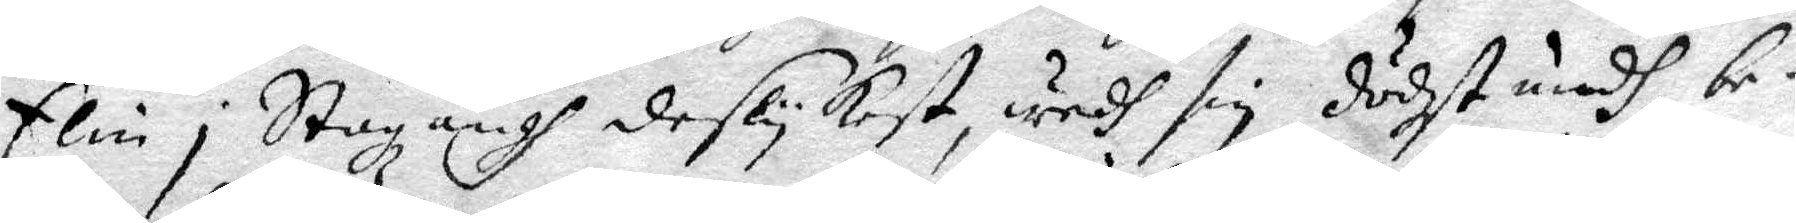Elin i Stazängh deslykest, wedh sin dödzstundh, be¬
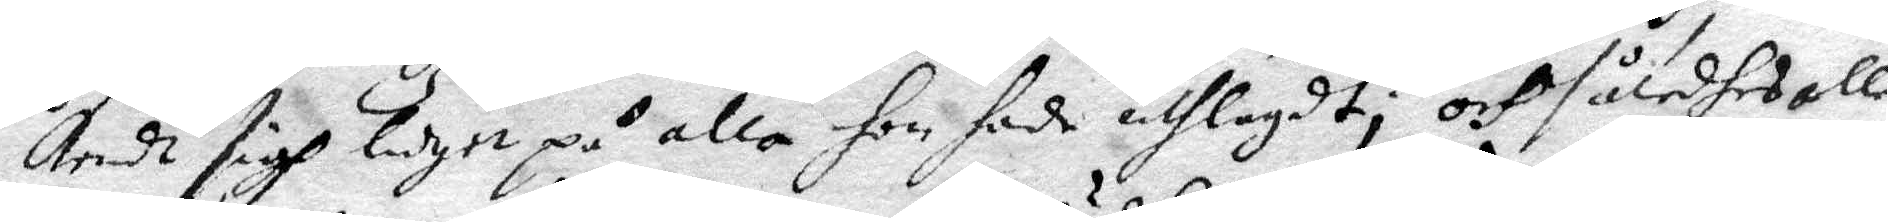kendt sigh luget på alla hon hade uthlagdt; och således alle
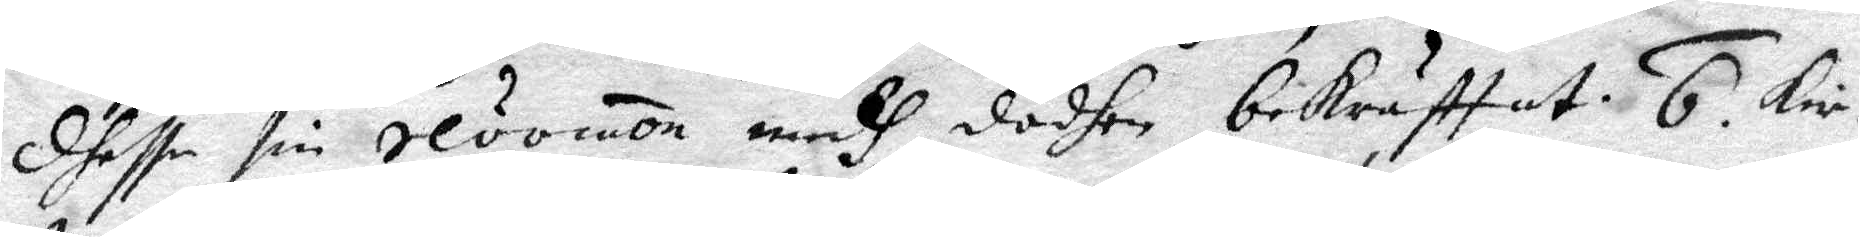dhesse sin revomo medh dödhen bekräfttat. 6. Kir¬
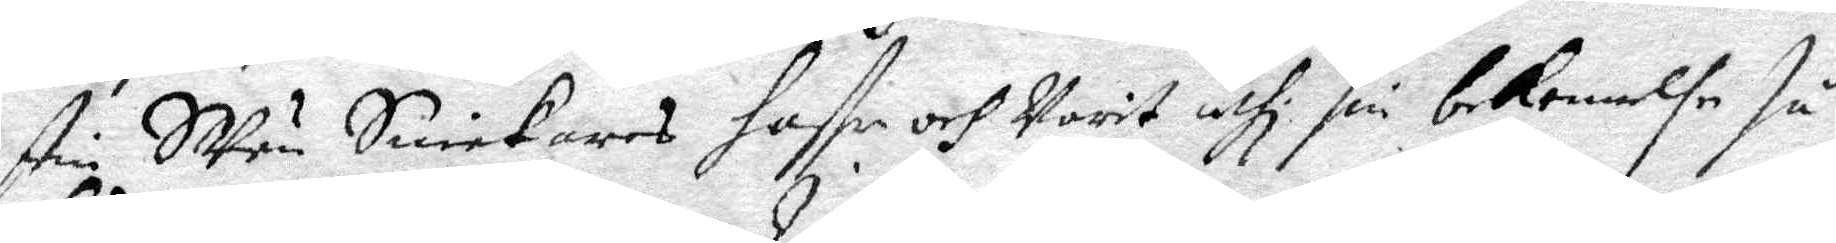stin SVän Snickares haffr och Varit uthi sin bekennelse så
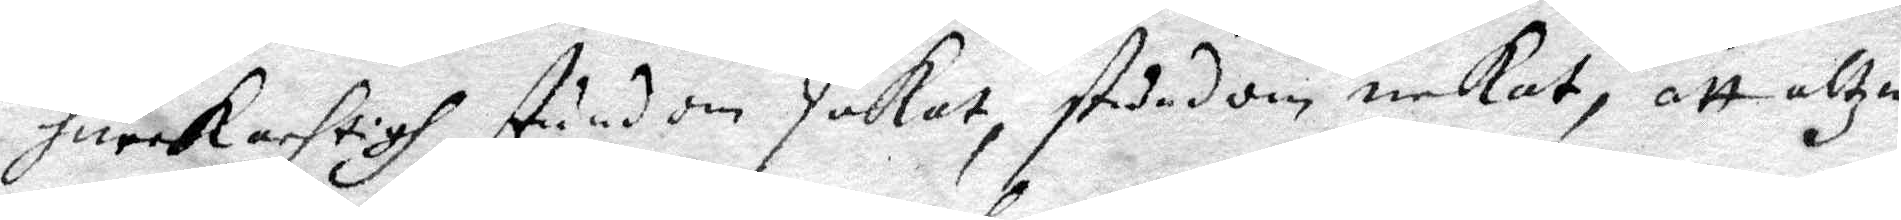hurck achtigh, stundom Jakat, stundom neckat, att altzin¬
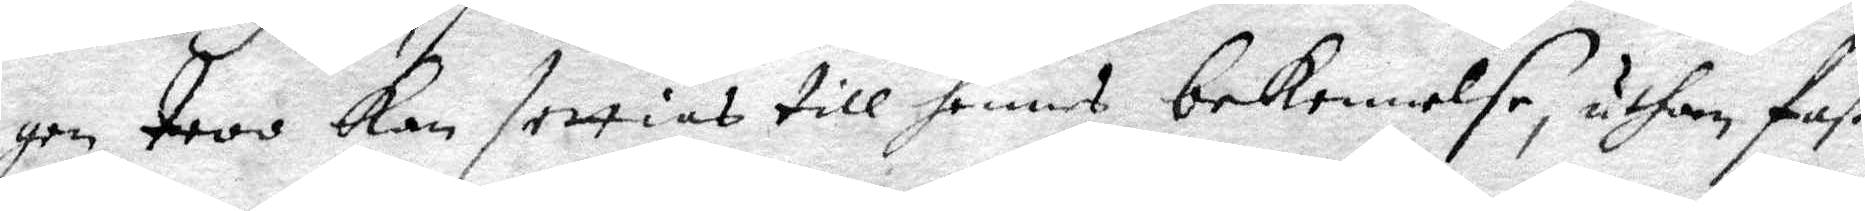gen troo kan settias till hennes bekennelse, uthan fast
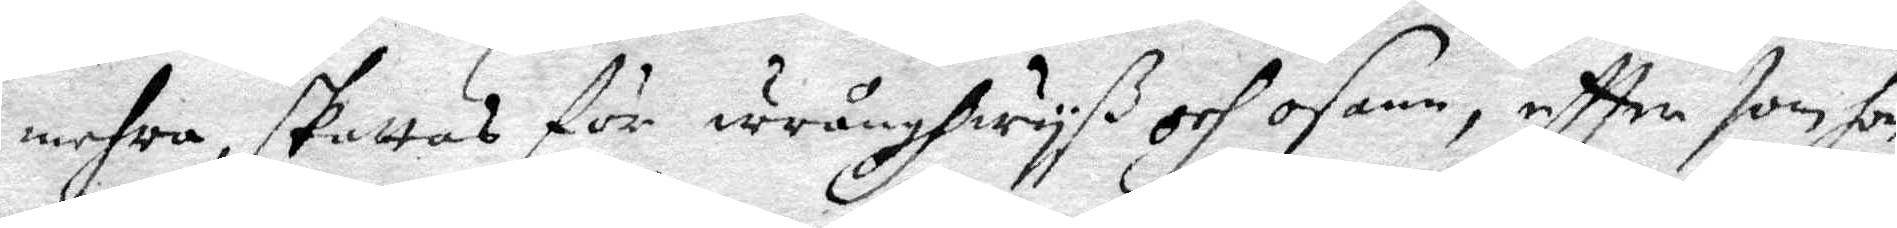mehra, skattas för wrånghwyß och osann, eftter som hon
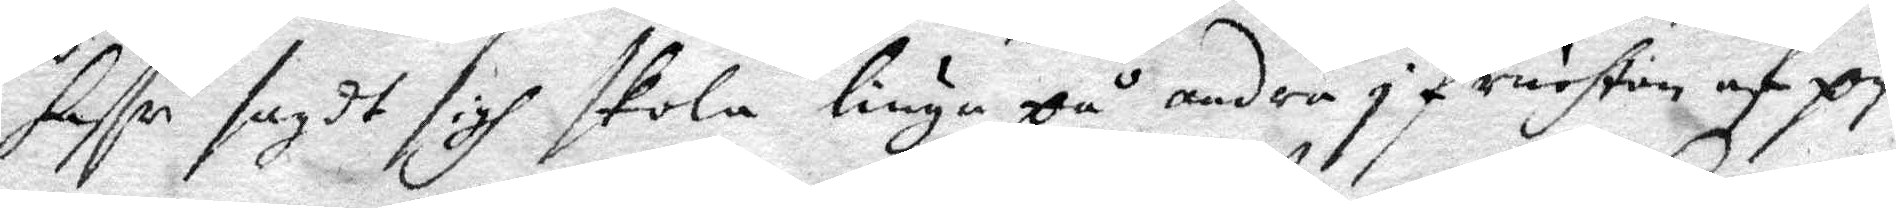haffr sagdt sigh skola liuga på andra i Fruchtan af py¬
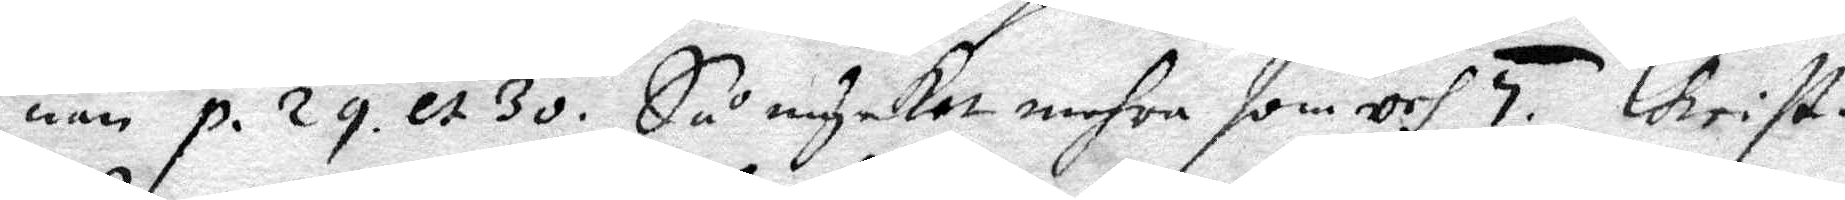nan p. 29. et 30. Så mycjet mehra som och 5. Christ.
